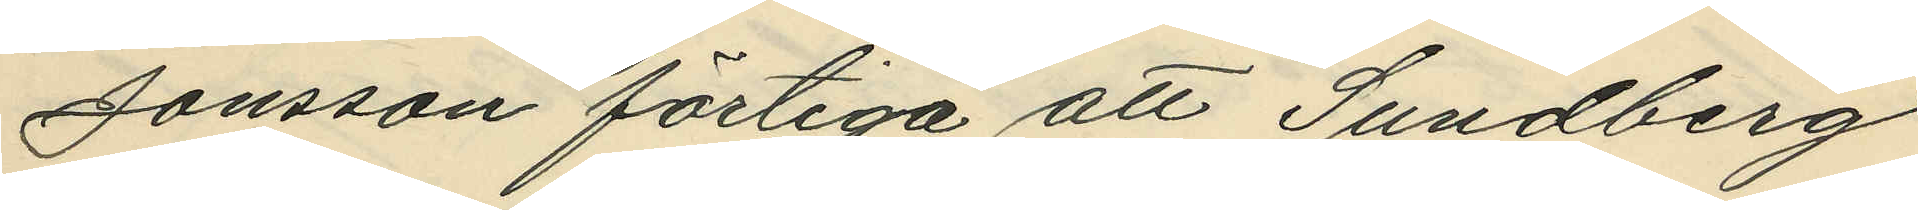Jonsson förtiga att Sundberg
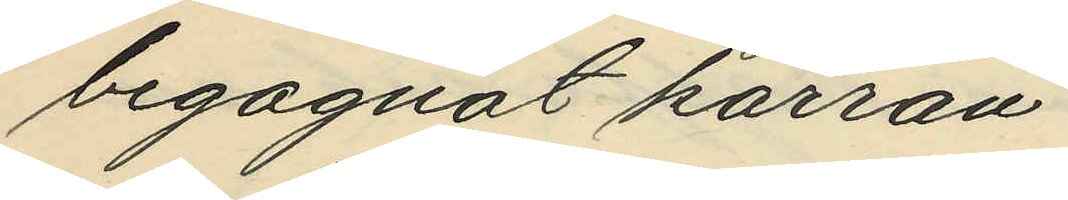begagnat kärran.
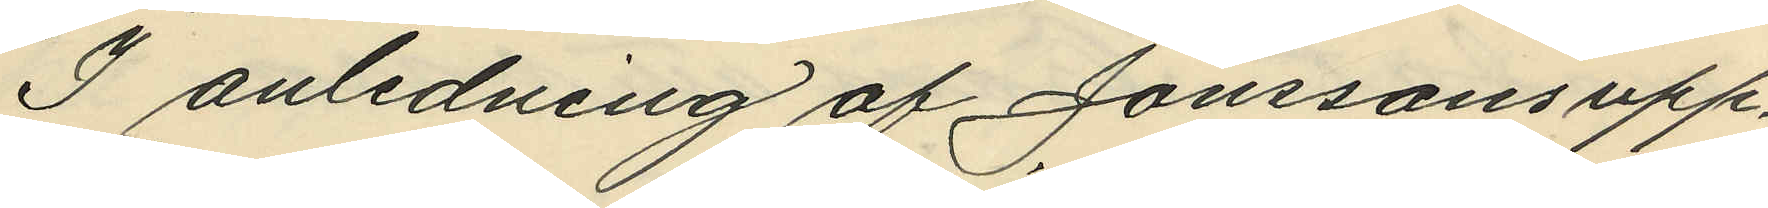I anledning af Jonssons upp¬
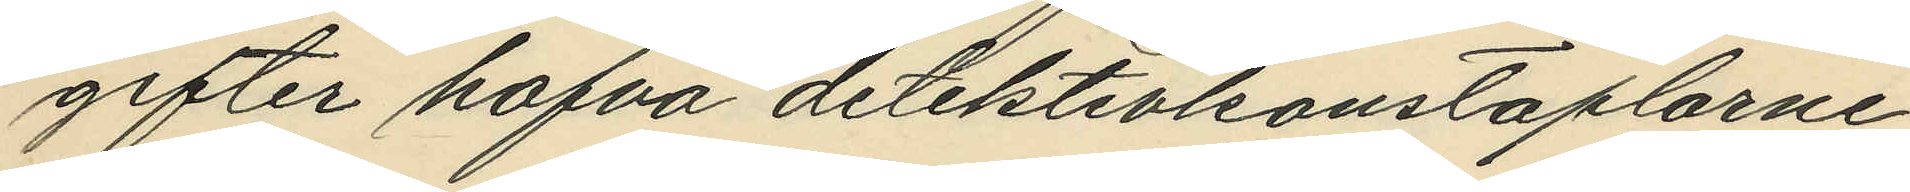gifter hafva detektivkonstaplarne
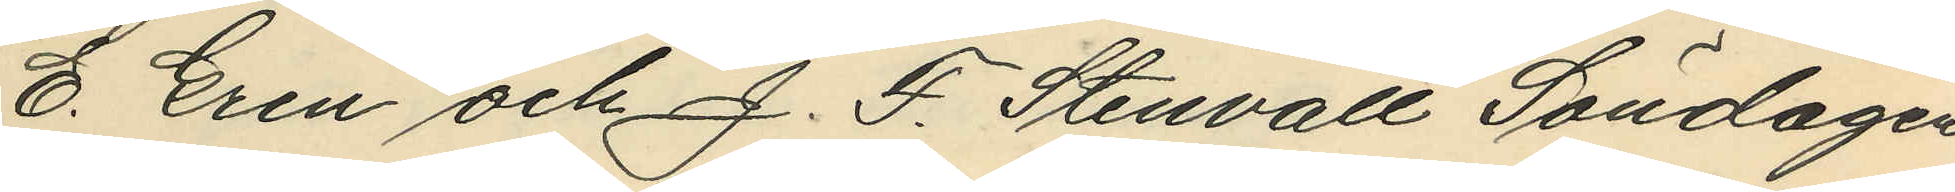E. Gren och J. F. Stenvall Söndagen
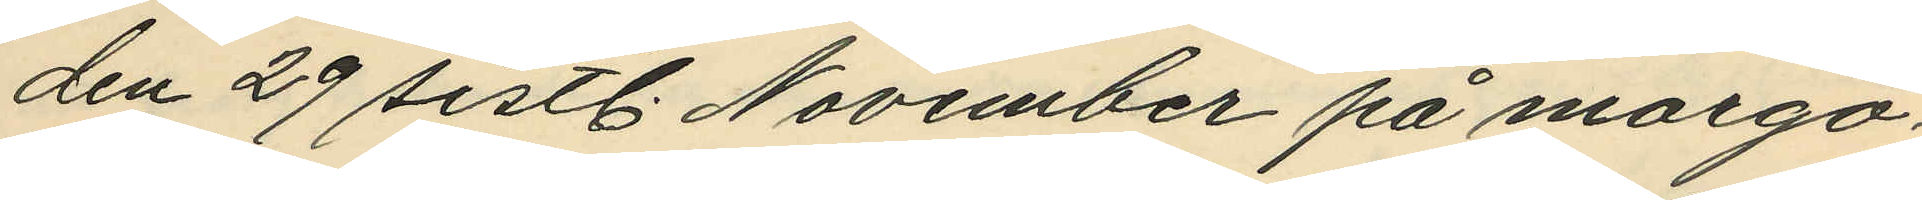den 29 sistl. November på morgo¬
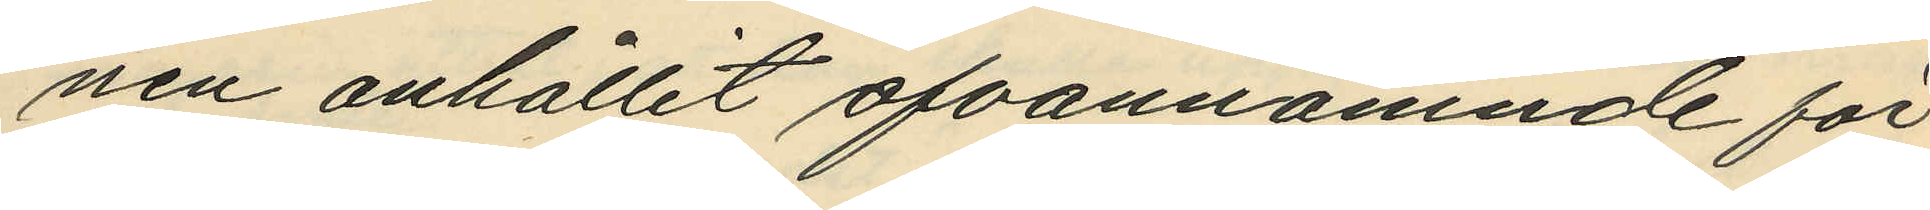nen anhållit ofvannämnde för
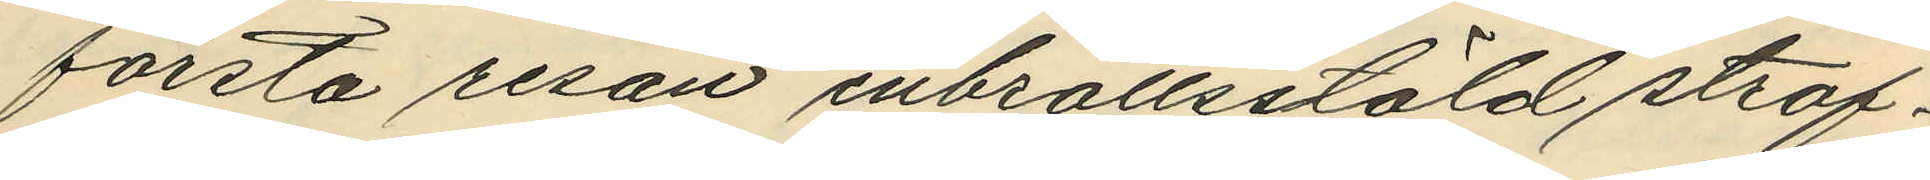första resan inbrottsstöld straf¬
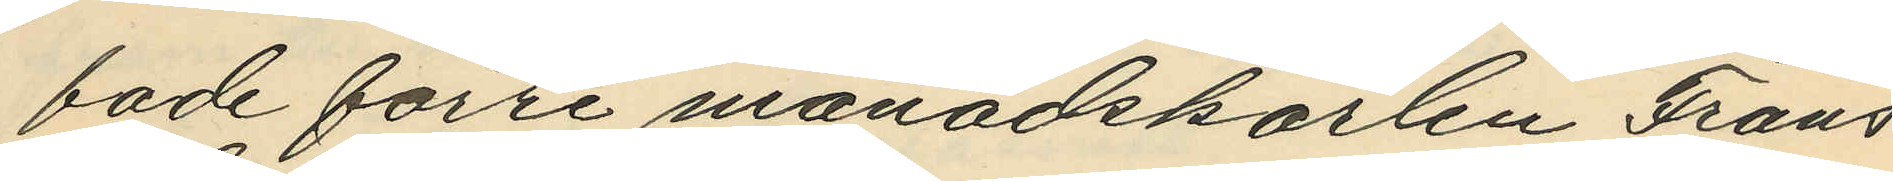fade förre månadskarlen Frans
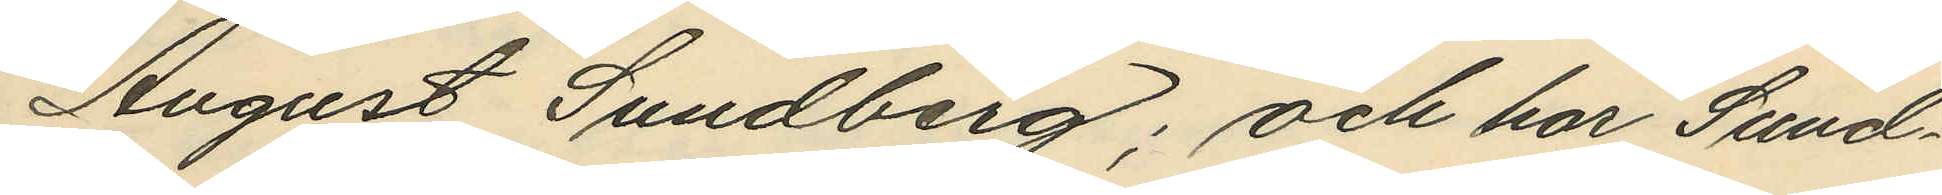August Sundberg; och har Sund¬
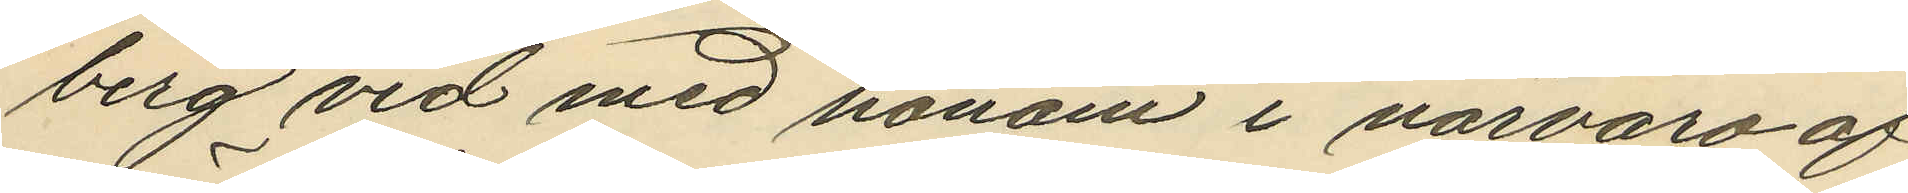berg vid med honom i närvaro af
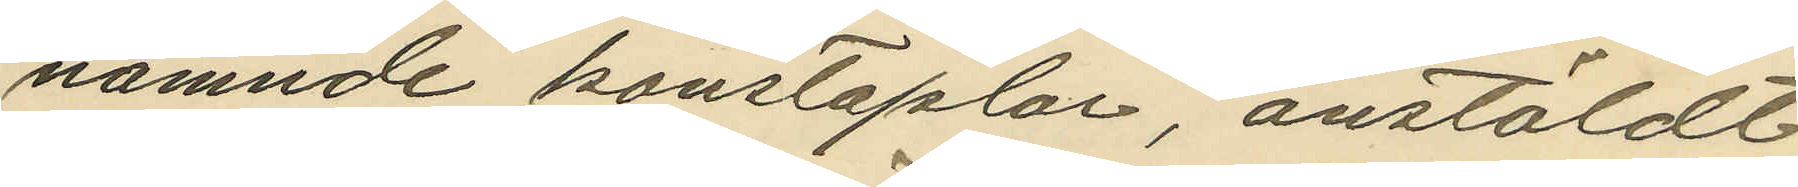nämnde konstaplar, anstäldt
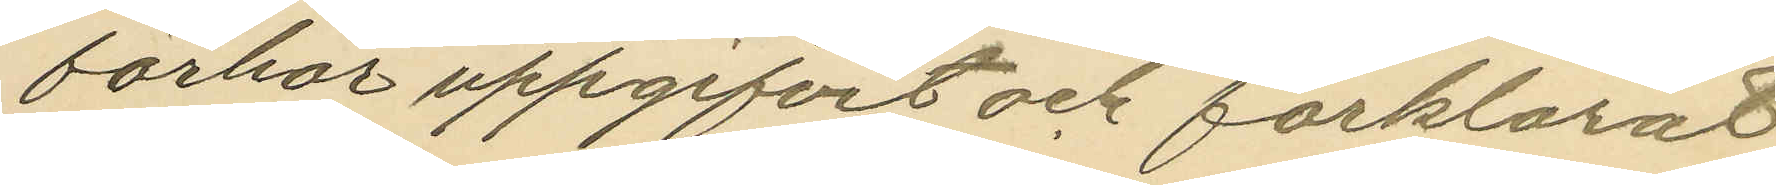förhör uppgifvit och förklarat
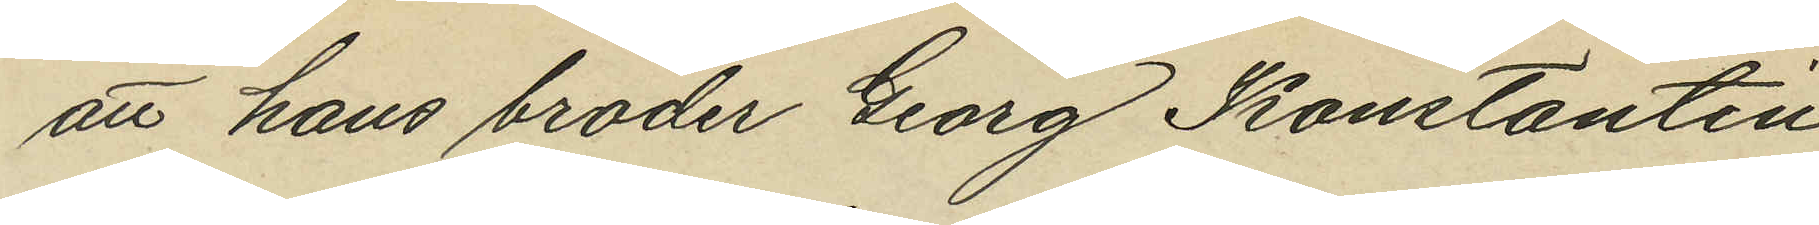att hans broder Georg Konstantin
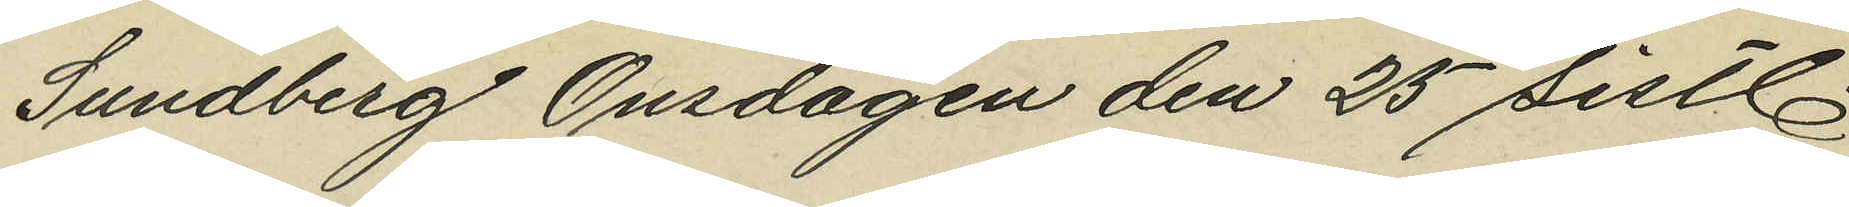Sundberg Onsdagen den 25 sistl.
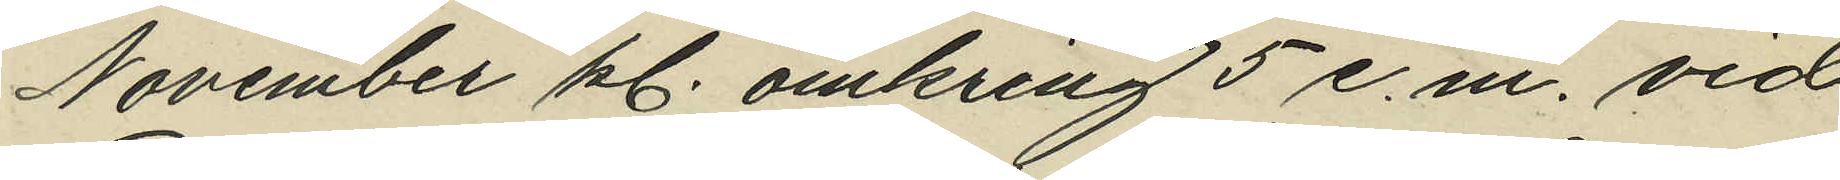November kl. omkring 5 e.m. vid
